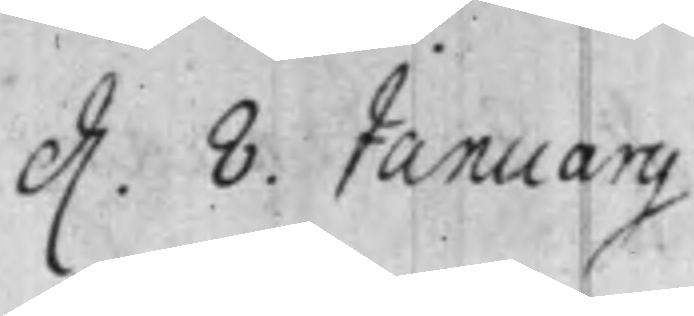d. 8. Januarij.
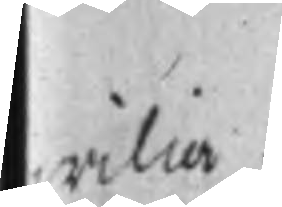wilia.
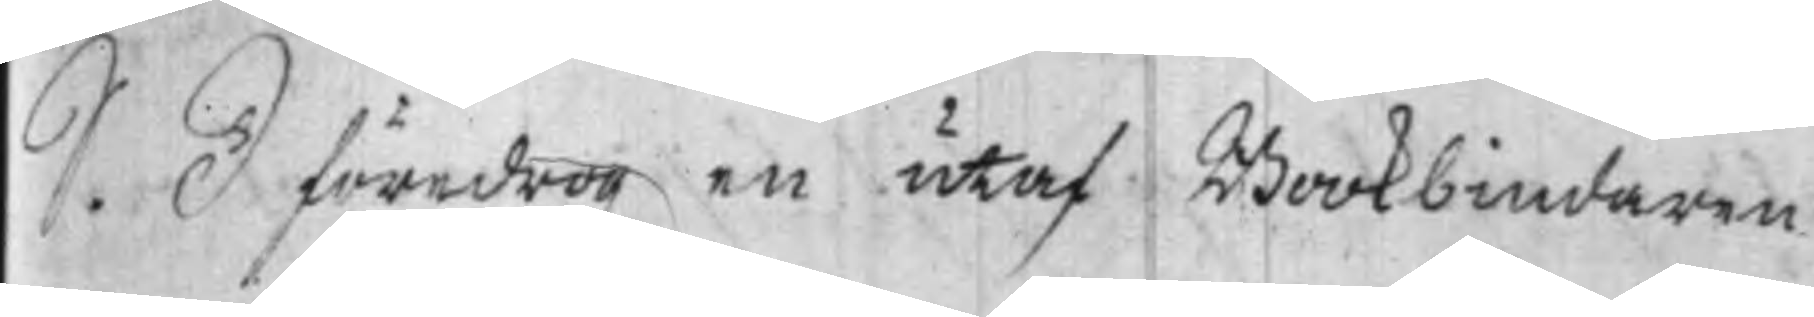S. D föredrogz en utaf Bookbindaren
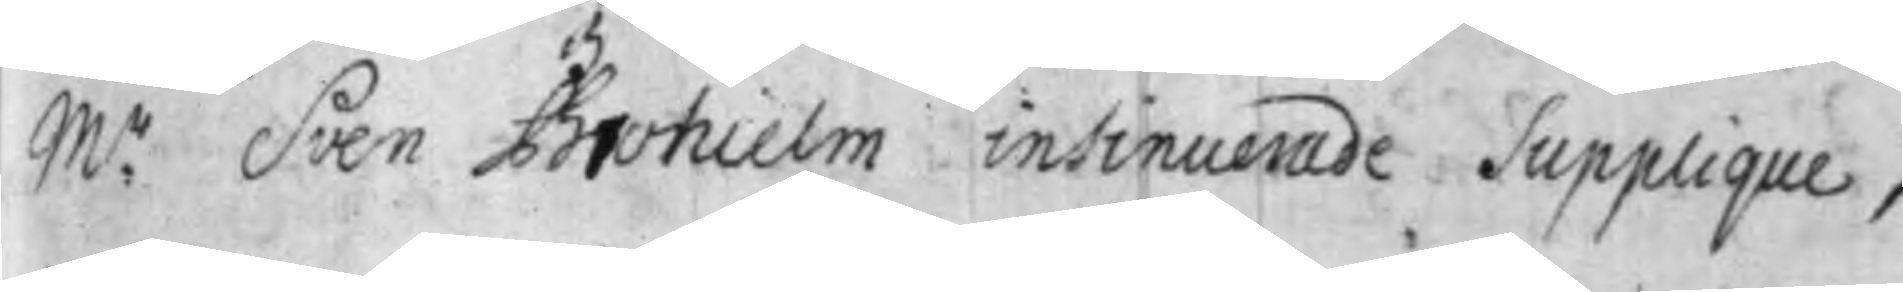M:r Sven Brohielm insinuerade Supplique,
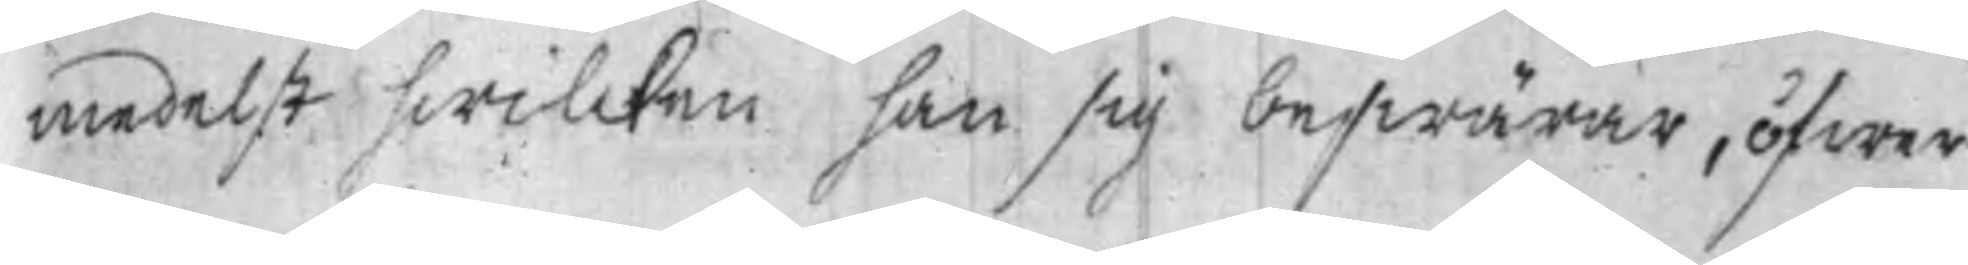medelst hwilcken han sig beswärar, öfwer
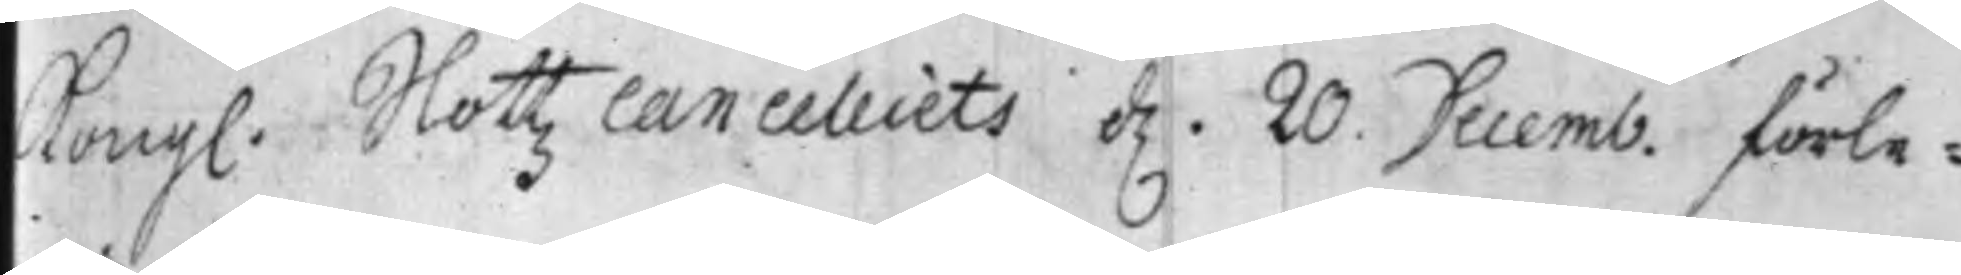Kongl. Slottz Canceliets d. 20. Decemb: förle¬
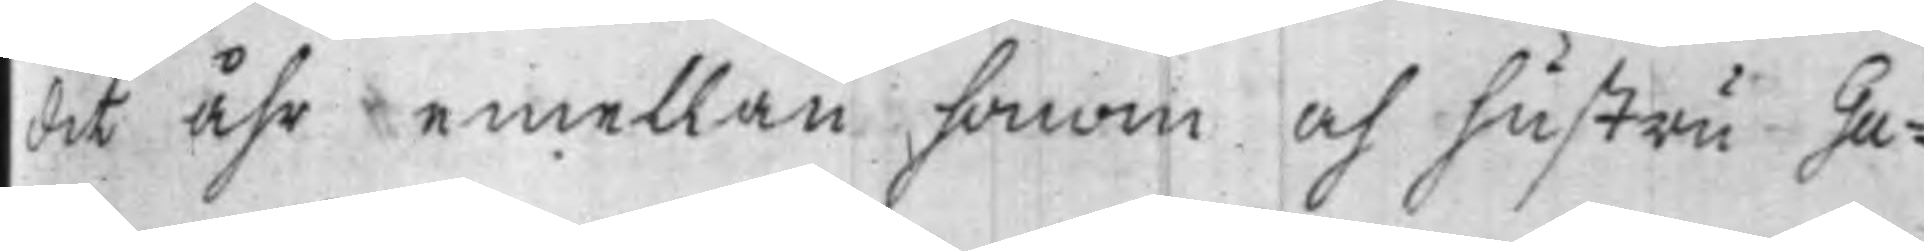dit Åhr emellan honom och hustru Gu¬
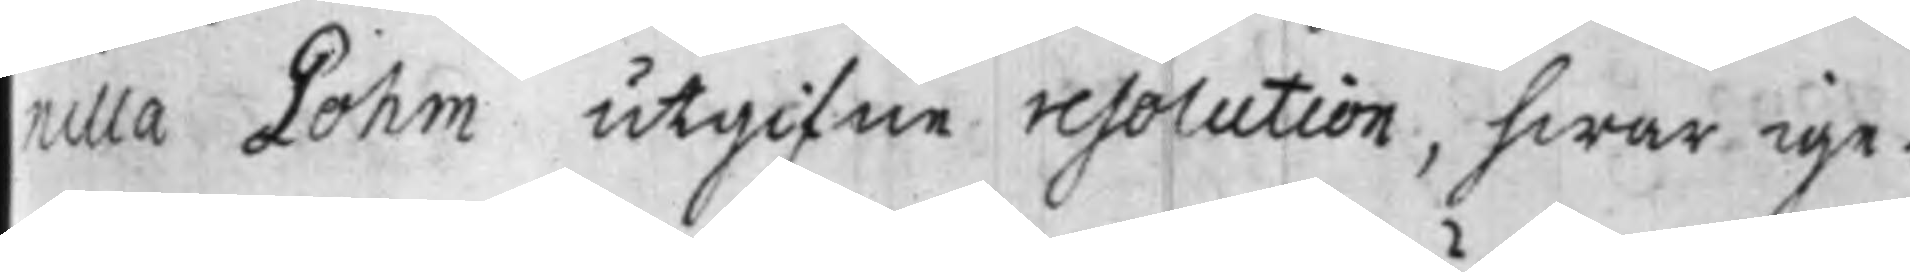nilla Lohm utgifne resolution, hwar ige¬
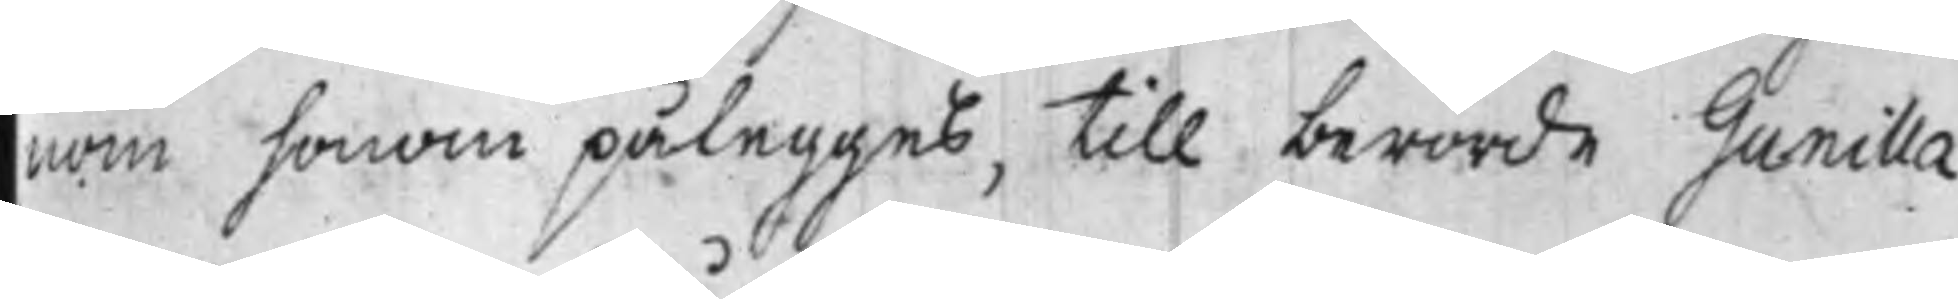nom honom pålegges, till berörde Gunilla
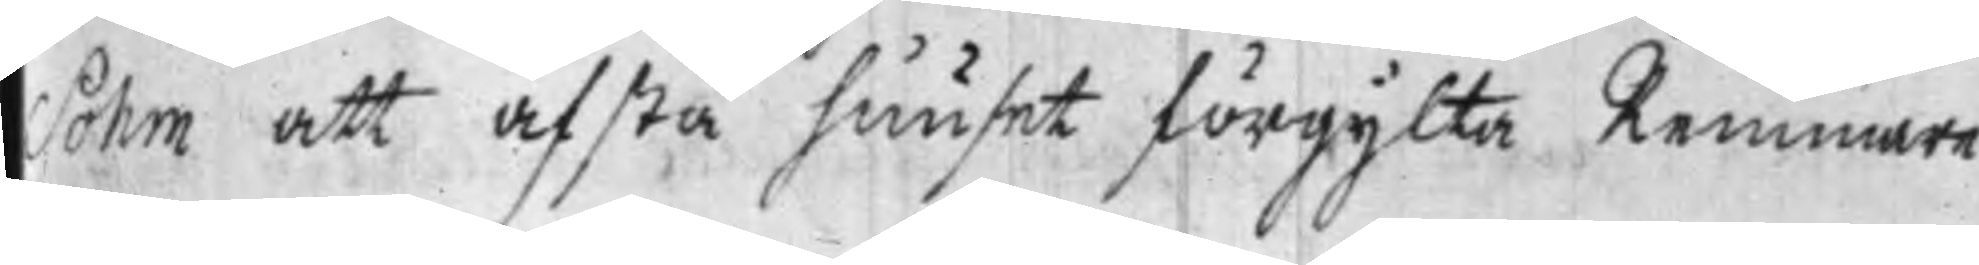Sohm att afstå huuset förgylta Remmare
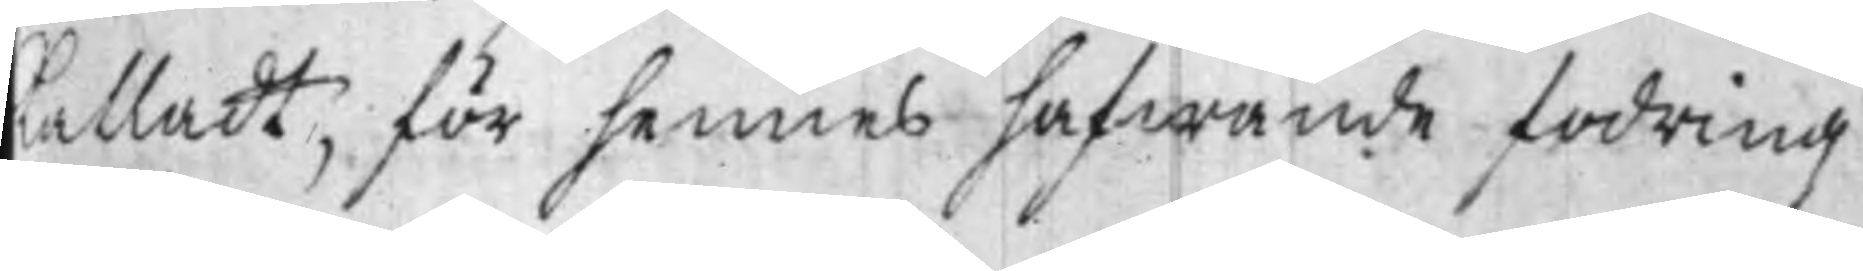kalladt, för hennes hafwande fodring
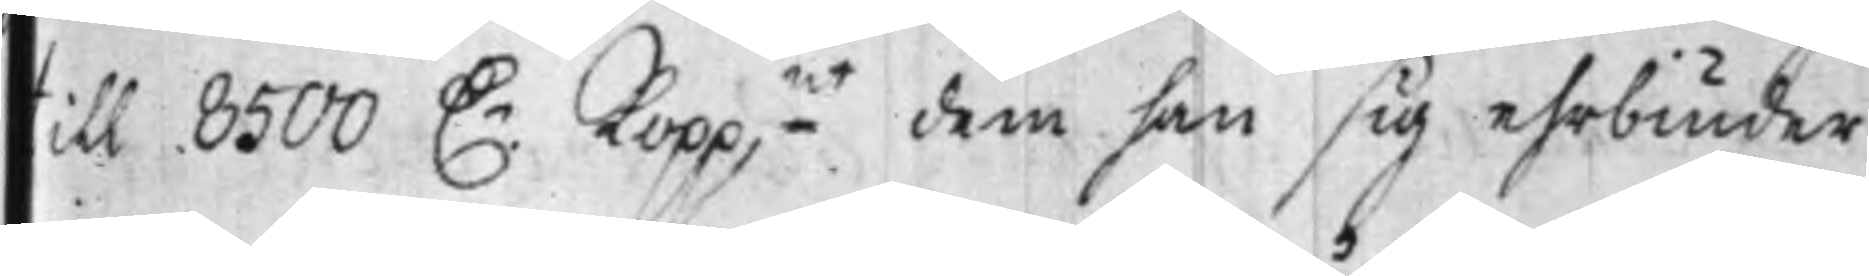till 8500 D.r Kopp.mt dem han sig ehrbiuder
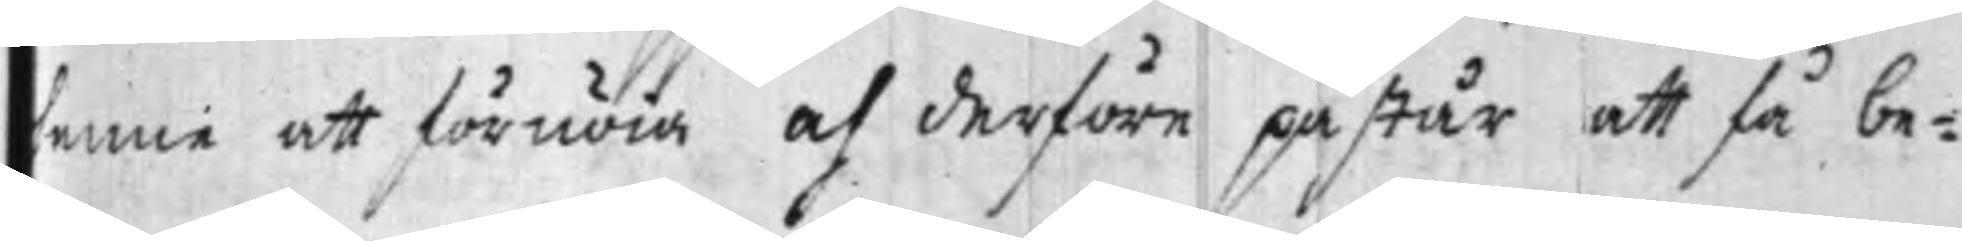henne att förnöia och derföre påstår att få be¬
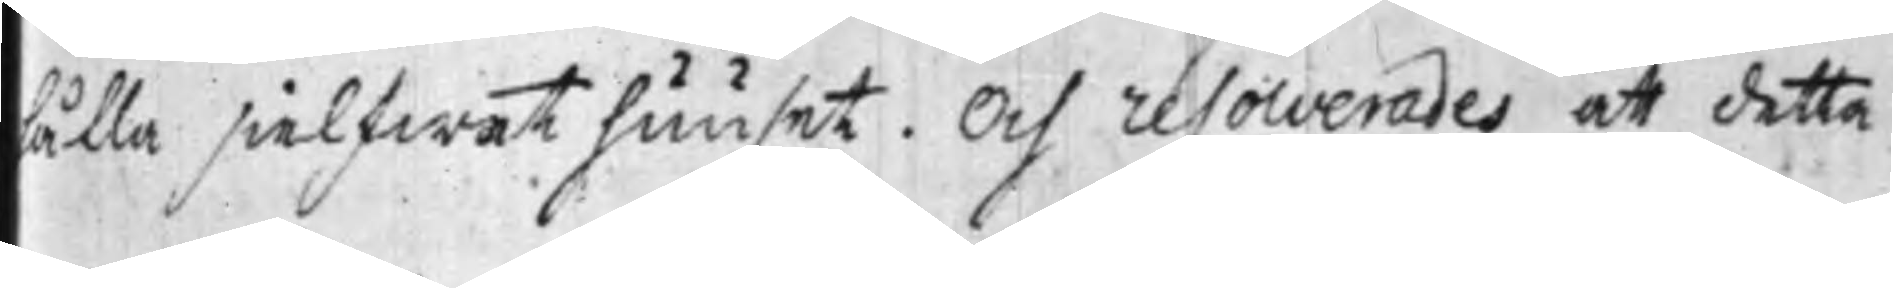hålla sielfwat huuset. Och resolverades att detta
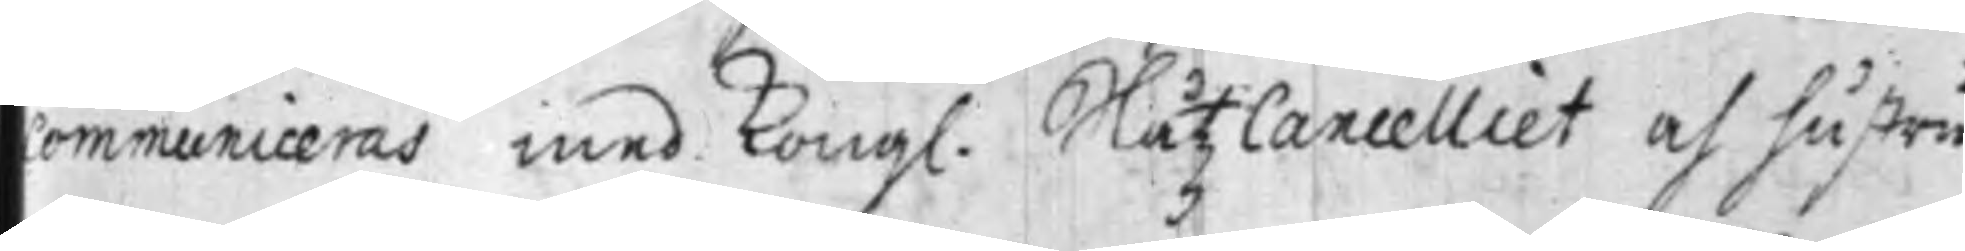communiceras med Kongl. Slåtz Cancelliet och hustru
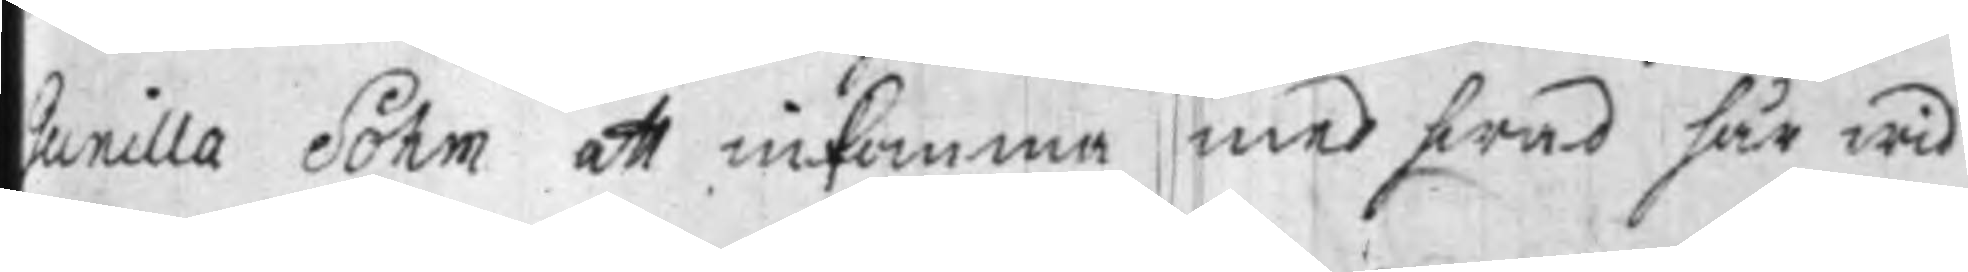Gunilla Sohm at inkomma med hwad här wid
